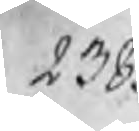238.
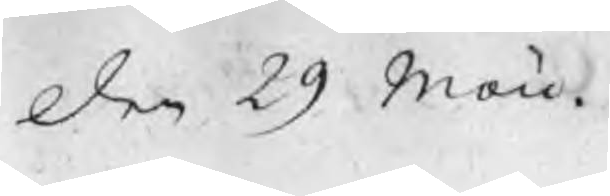den 29 Maii
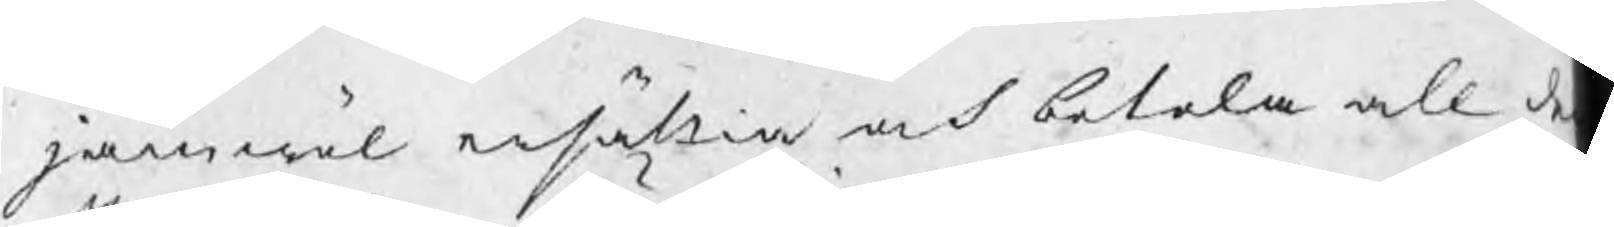jämwäl ersättia och betala all de
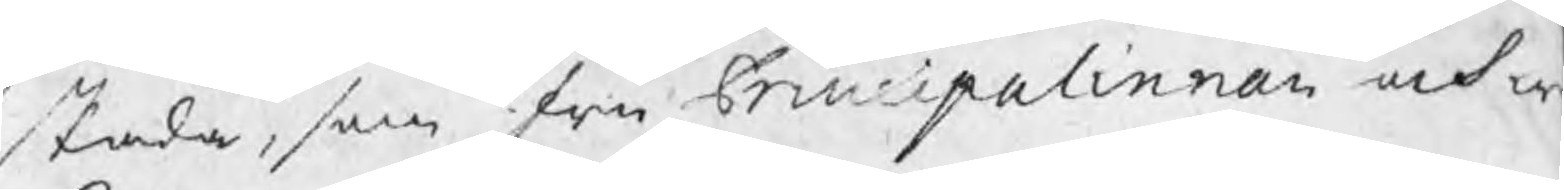skada, som fru Principalinnan och w
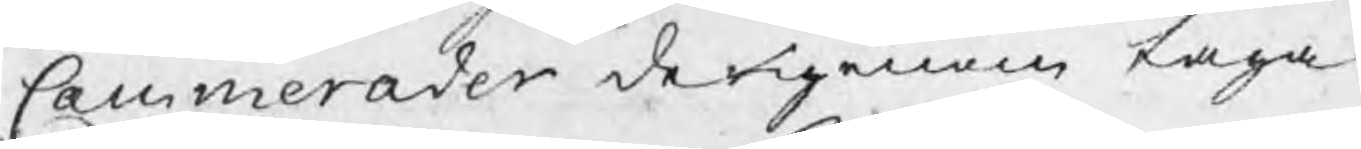Cammerader derigenom taga.
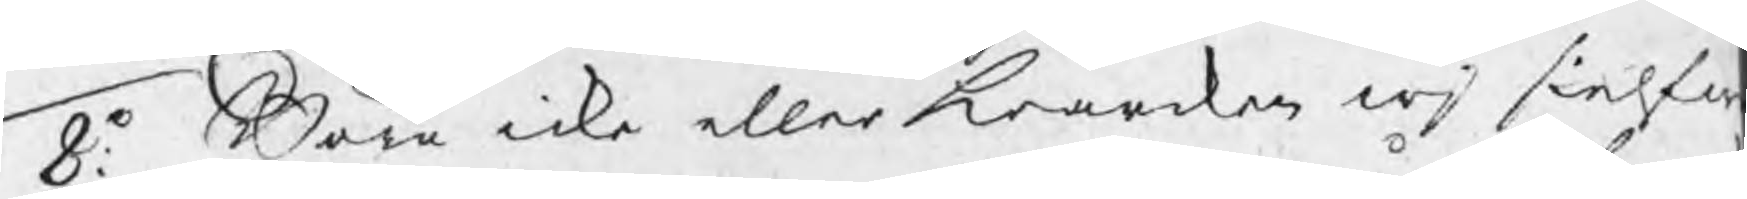8:o Böra icke eller hwarken wj sielfw
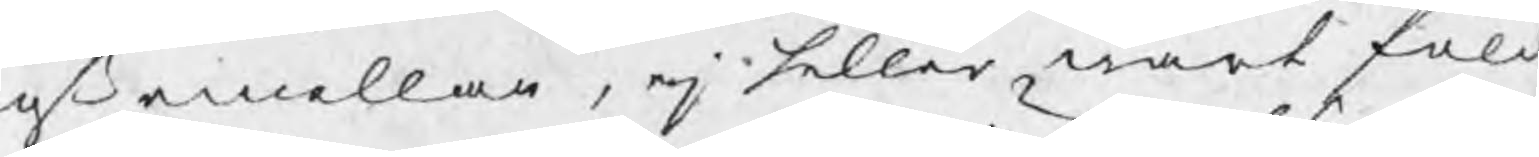oß emellan, ej heller wårt folck
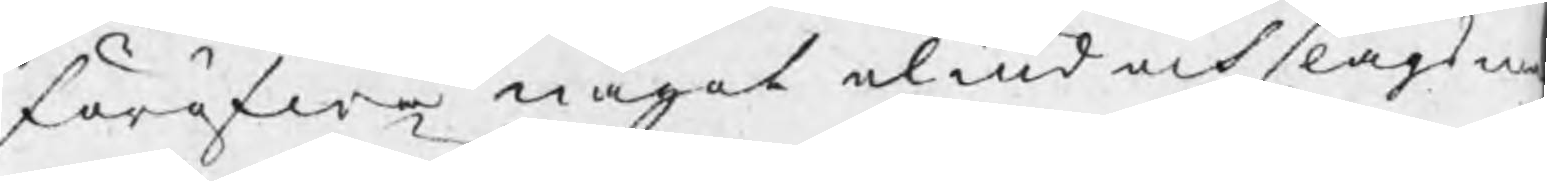föröfwa något oliud och slagsm
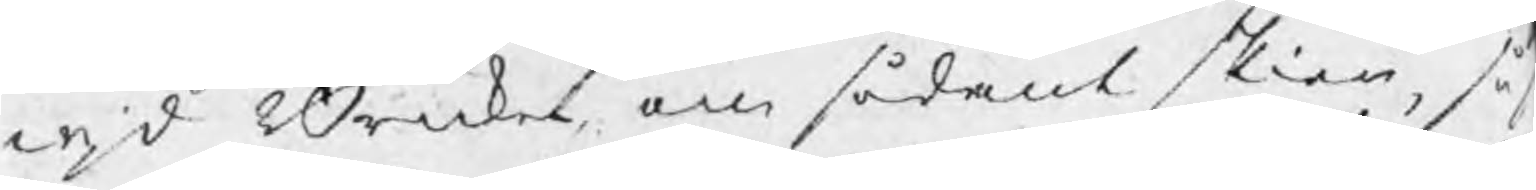wjd Bruket, om sådant skier, så s
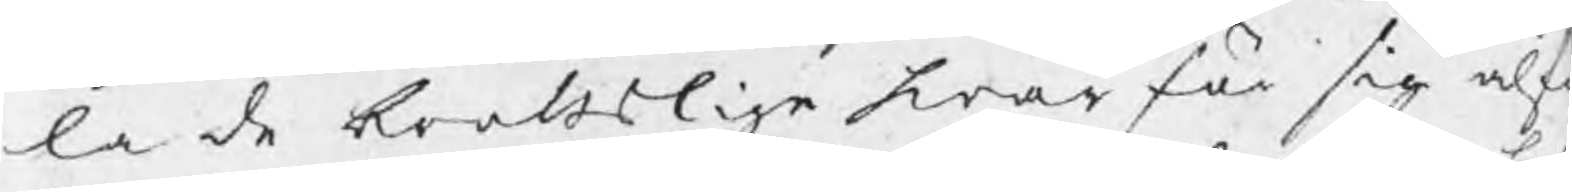la de brottslige hwar för sig alf
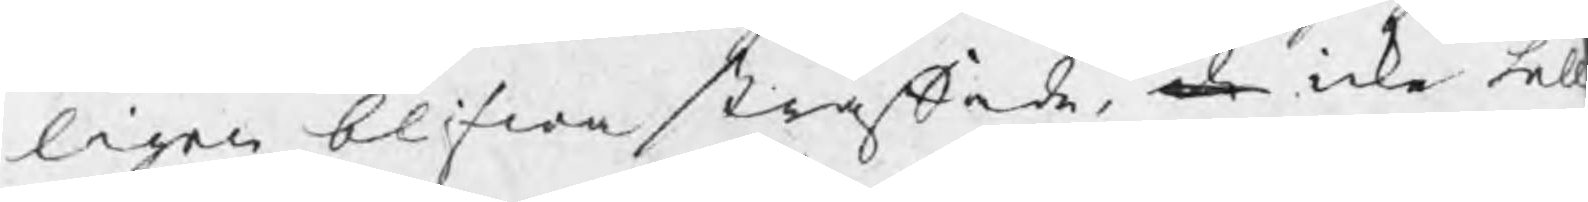ligen blifwa straffade, de icke hell
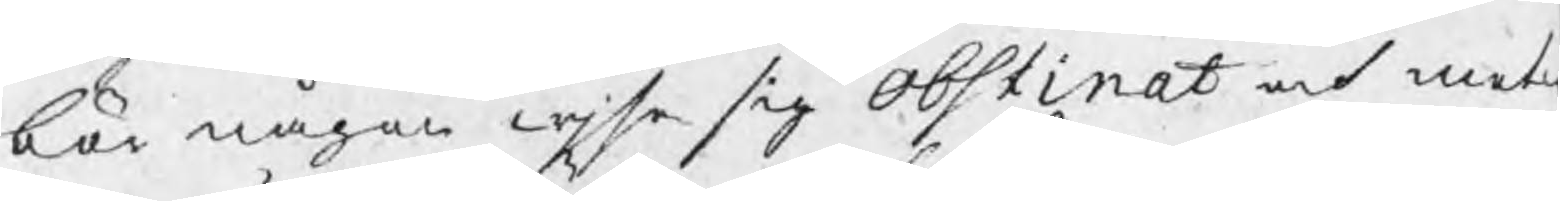bör någon wjsa sig obstinat och mot
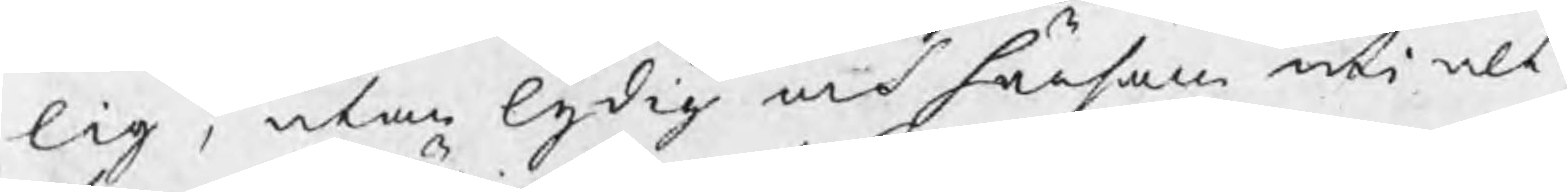lig, utan lydig och hörsam uti alt
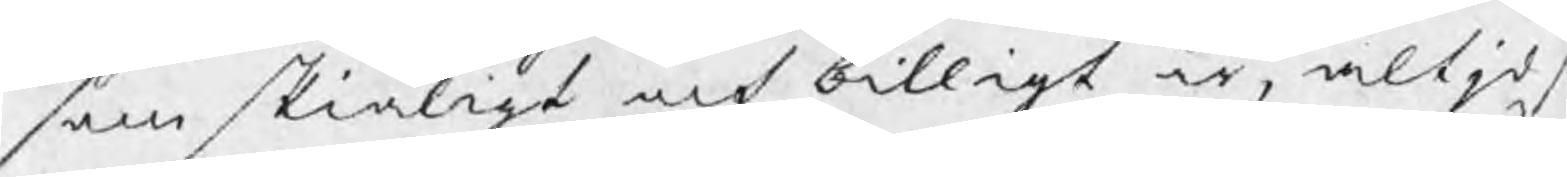som skiäligt och billigt är, altjd s
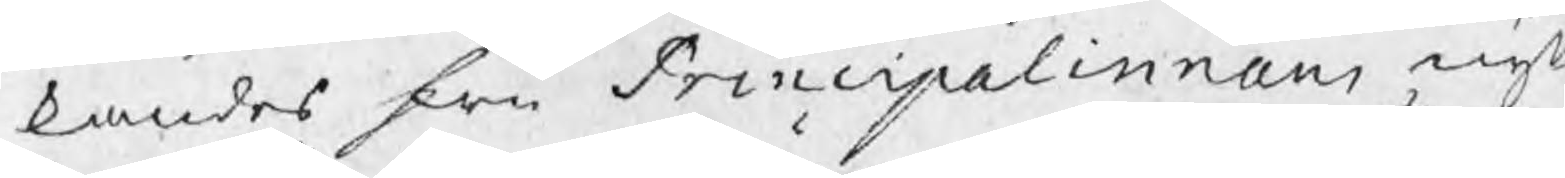kandes fru Principalinnans nyt
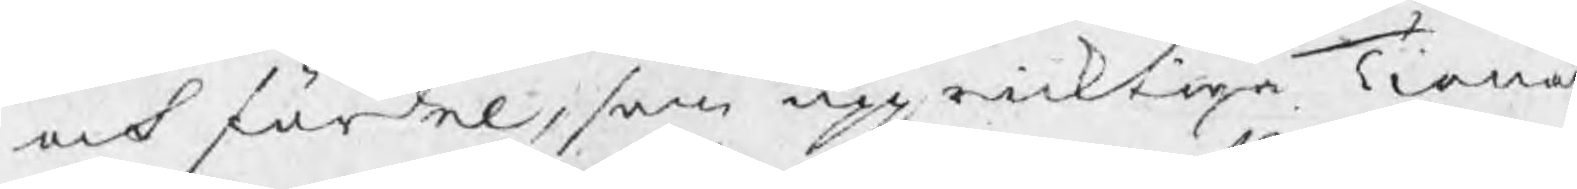och fördel, som uppricktige Tiena
